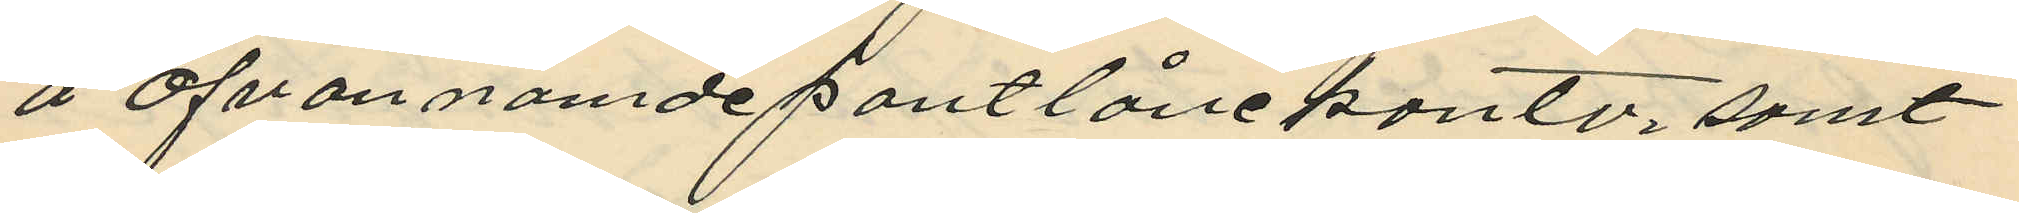å ofvannämde pantlånekontor, samt
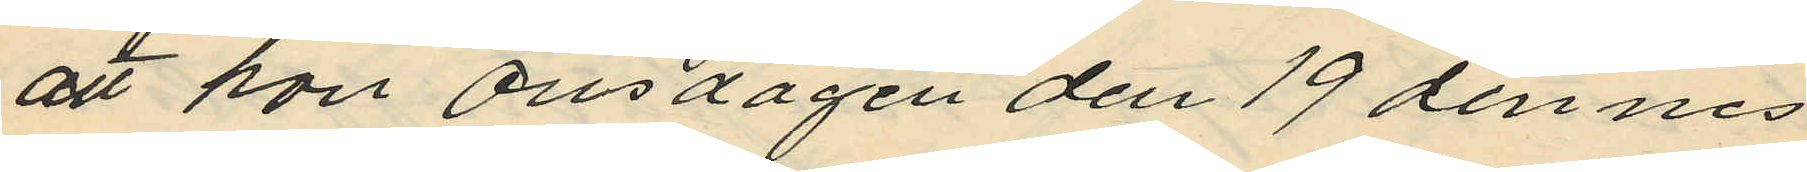att hon onsdagen den 19 dennes
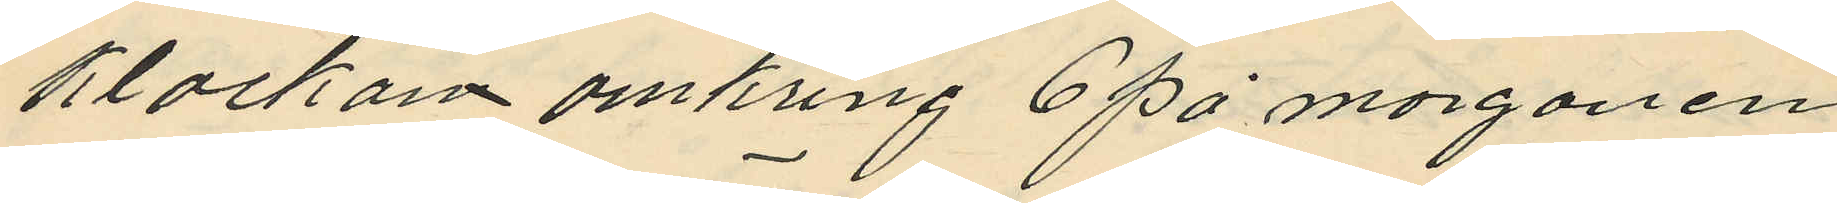klockam omkring 6 på morgonen
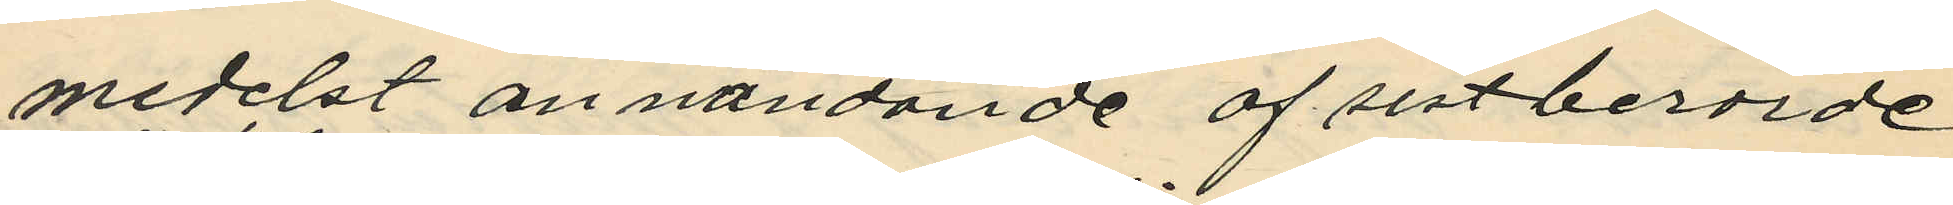medelst användande af sistberörde
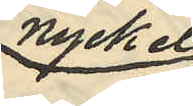nyckel
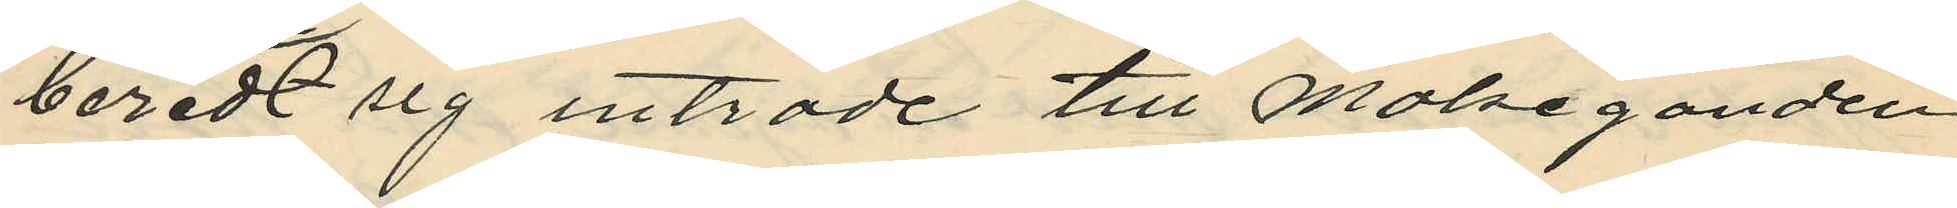beredt sig inträde till målseganden
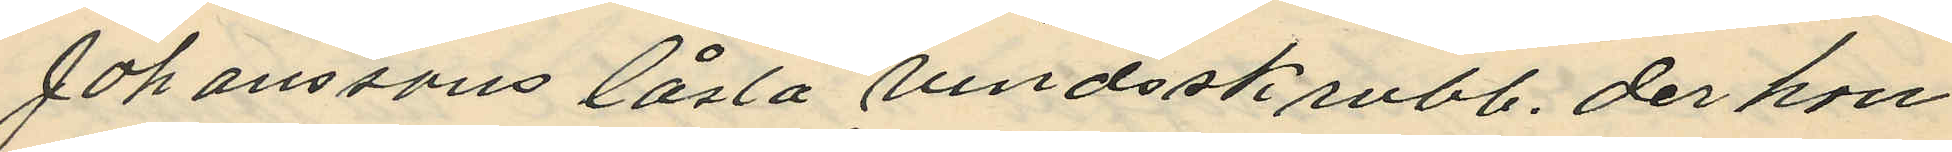Johanssons låsta vindsskrubb, der hon
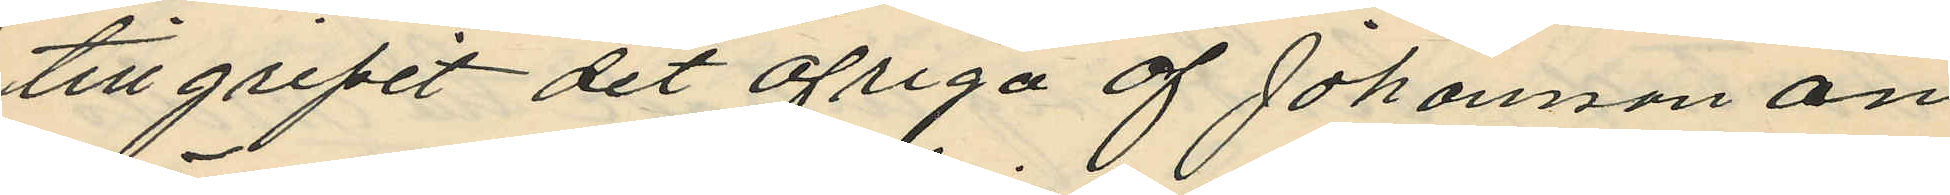tillgripit det öfriga af Johanson an
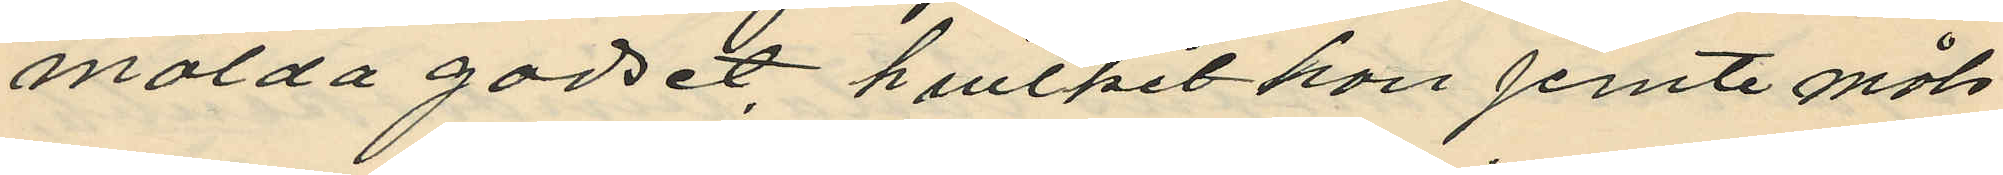mälda godset, hvilket hon jemte måls
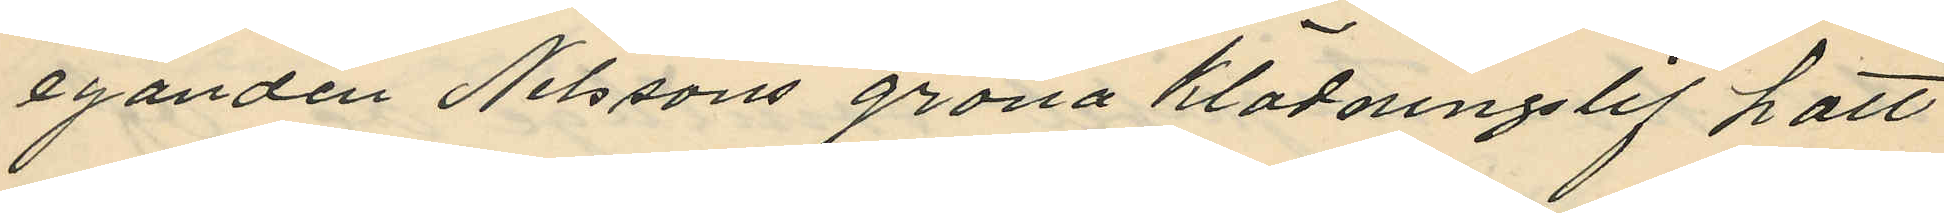eganden Nilssons gröna klädningslif hatt
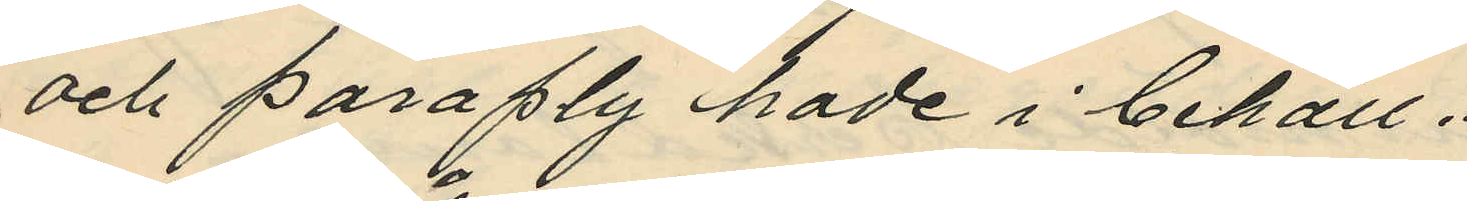och paraply hade i behåll.
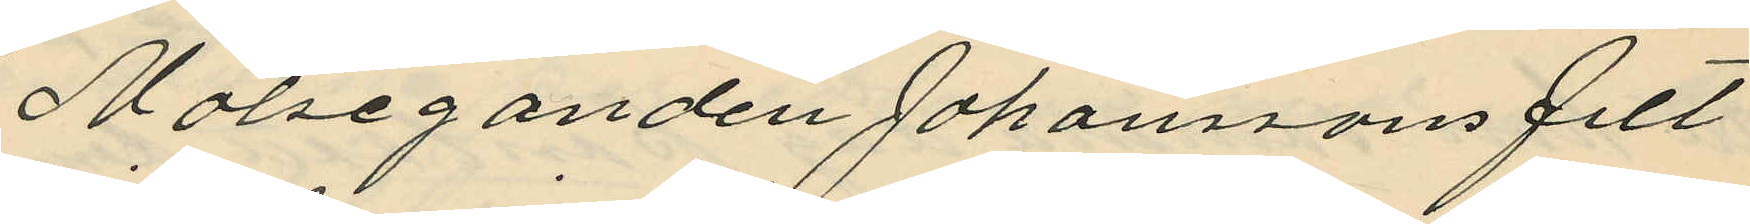Målseganden Johanssons filt
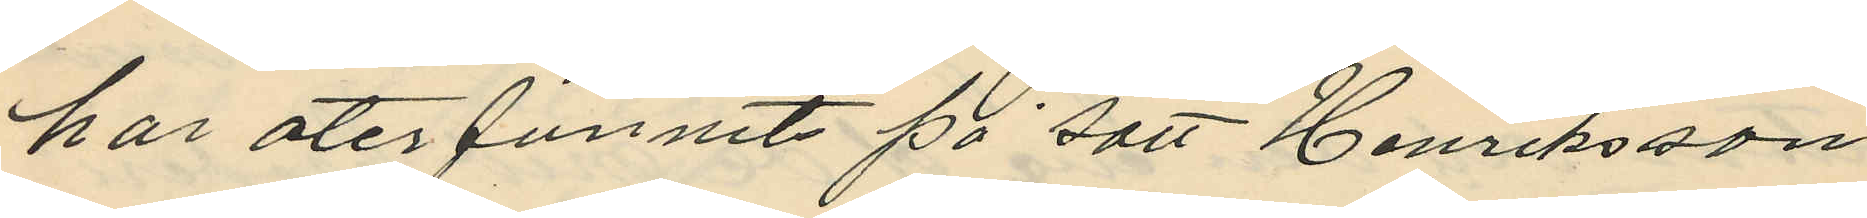har återfunnits på sätt Henriksson
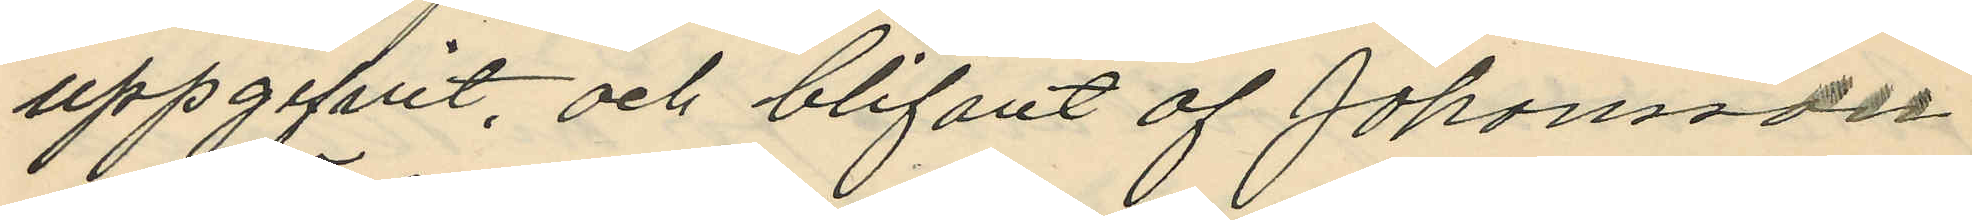uppgifvit, och blifvit af Johansson
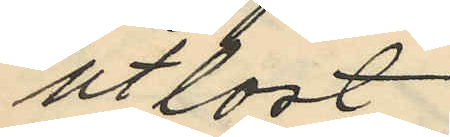utlöst
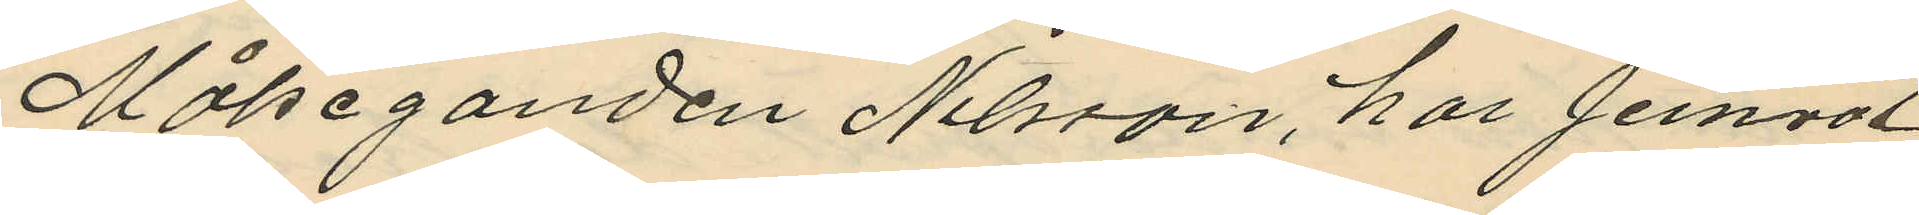Målseganden Nilsson, har jemväl
